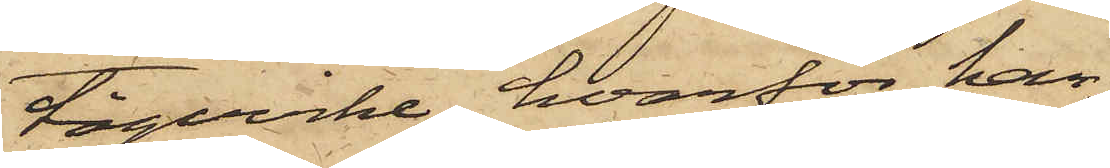tågvirke, hvarför han
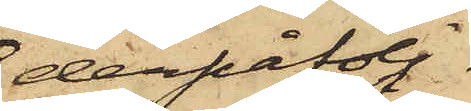derpåfölj¬
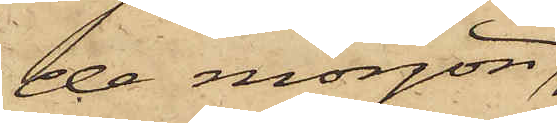de morgon,
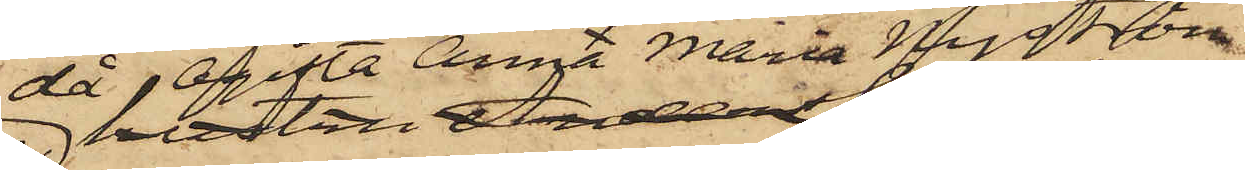då Ogifta Anna Maria Nyström
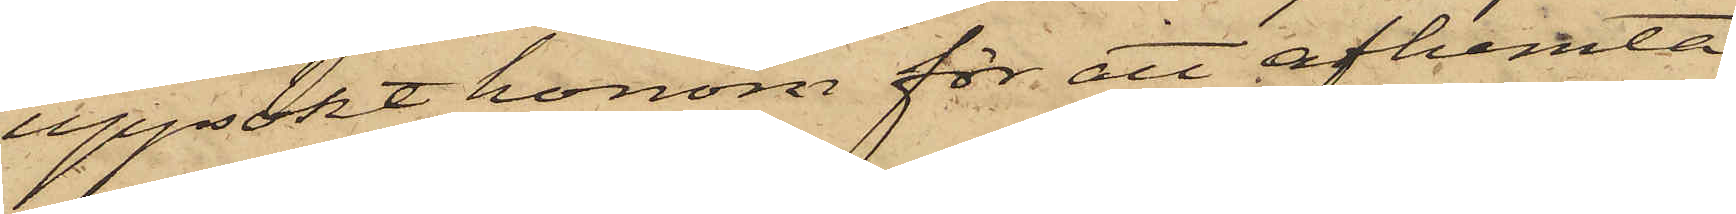uppsökt honom för att afhemta
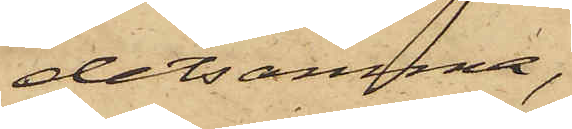detsamma,
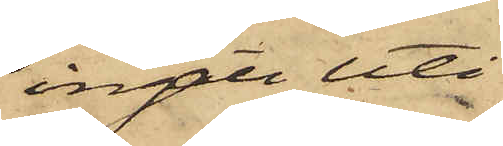ingått uti
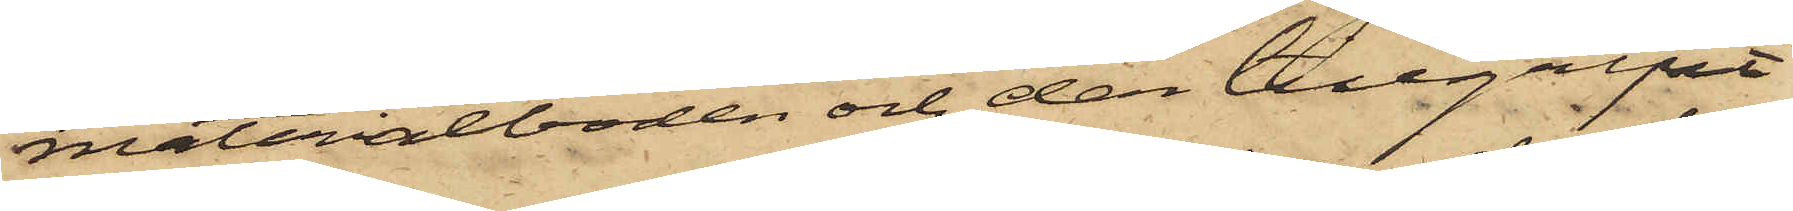materialboden och der tillgripit
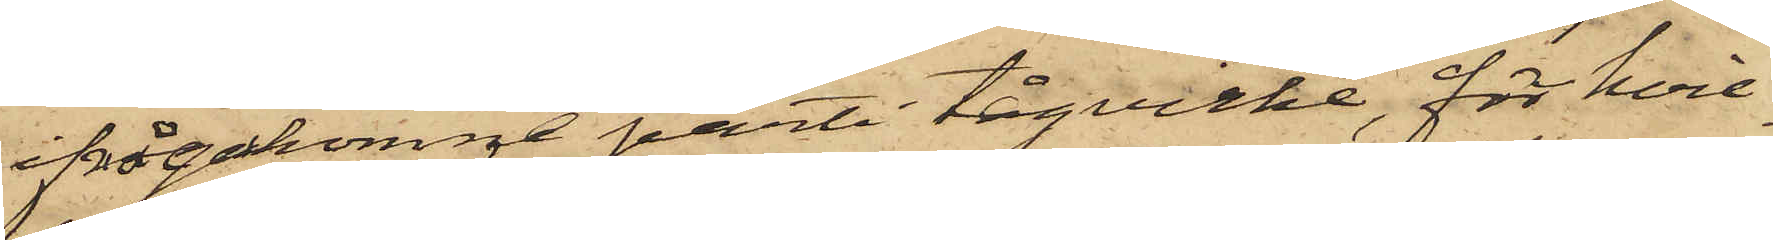ifrågakomne parti tågvirke, för hvil¬
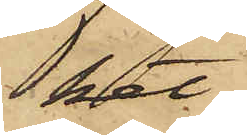ket
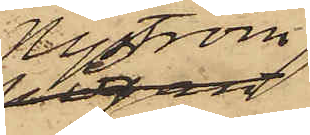Nyström
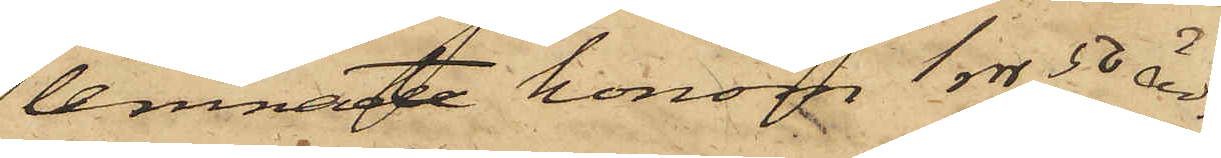lemnat honom 1 rdr 50 öre.
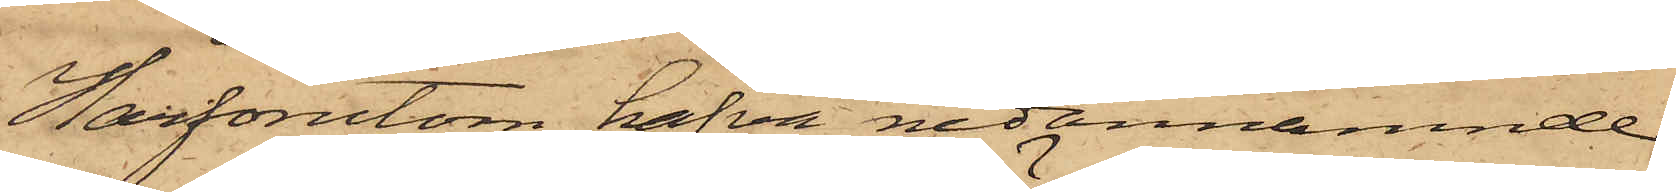Härförutom hafva nedannämnde
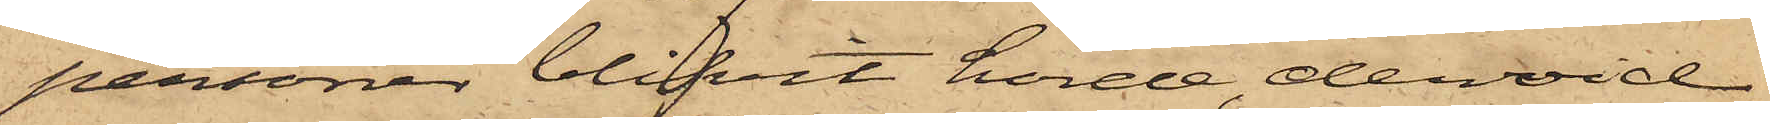personer blifvit hörde, dervid
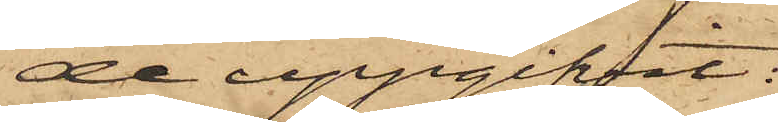de uppgifvit:
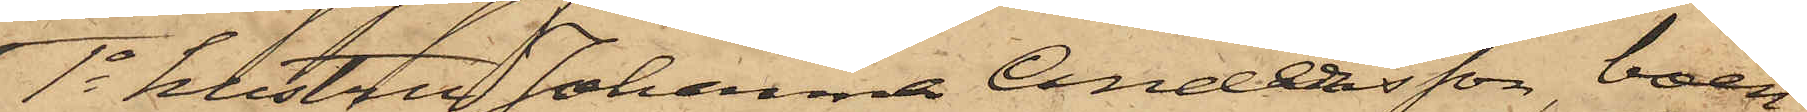1o hustru Johanna Andersson, boen¬
